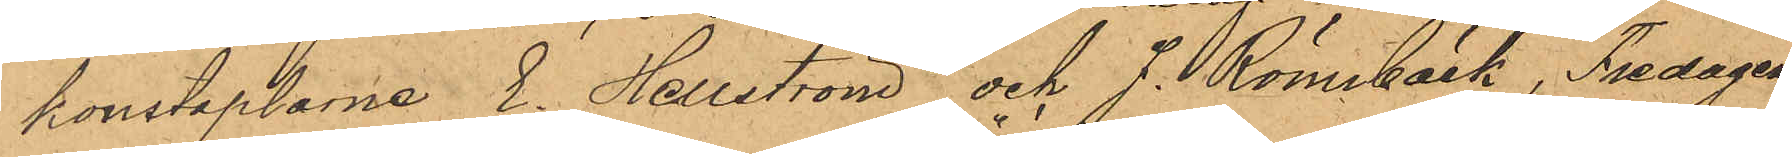konstaplarne E. Hellström och J. Rönnbäck, Fredagen
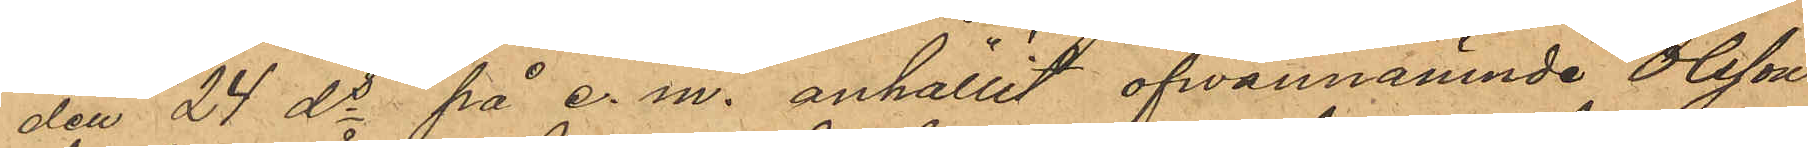den 24 ds på e. m. anhållit ofvannämnde Olsson
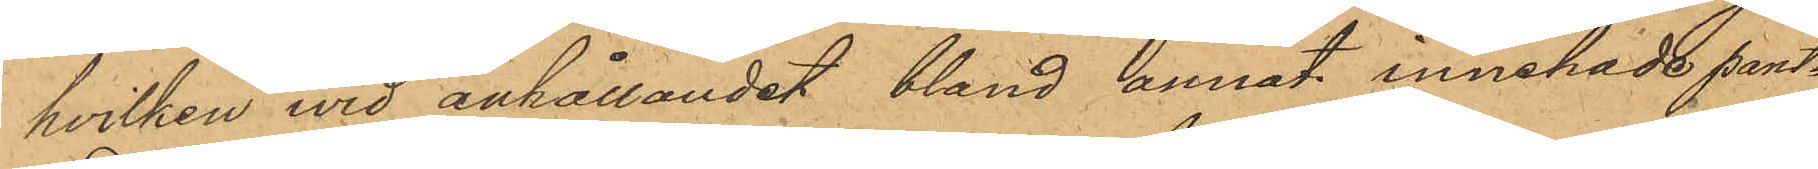hvilken vid anhållandet, bland annat innehade pant¬
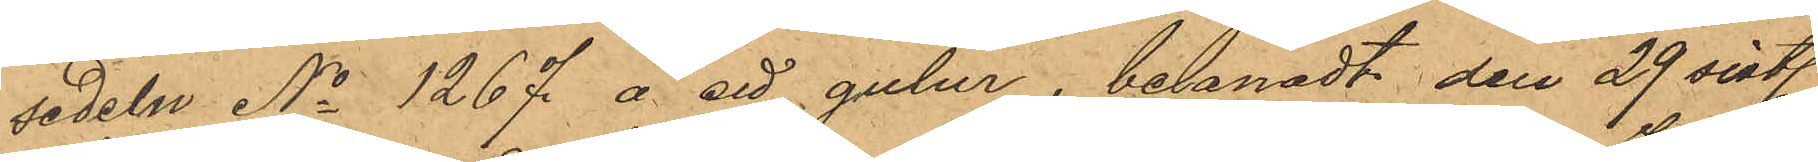sedeln No 1267 å ett guldur, belånadt den 29 sistl.
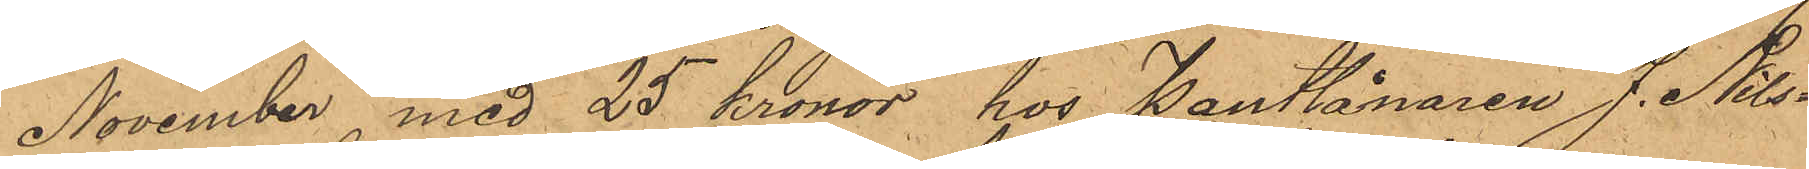November med 25 Kronor, hos Pantlånaren J. Nils¬
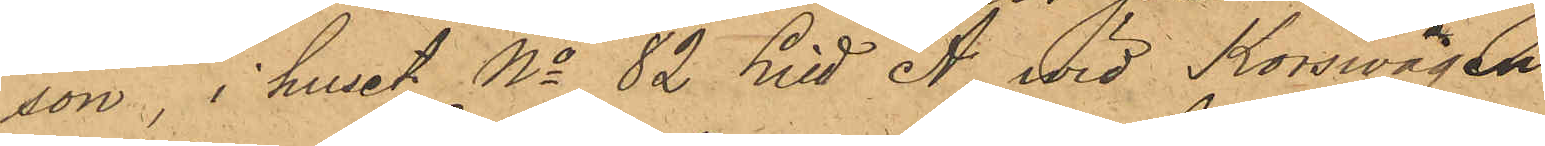son, i huset No 82 Litt A wid Korswägen.
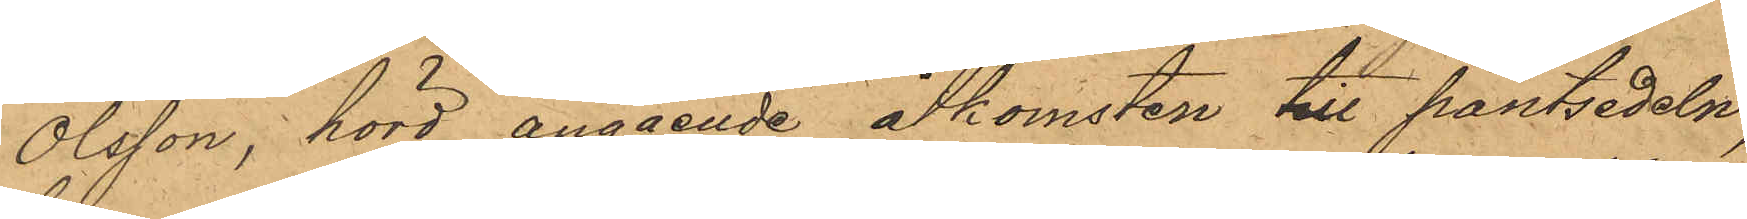Olsson, hörd angående åtkomsten till pantsedeln,
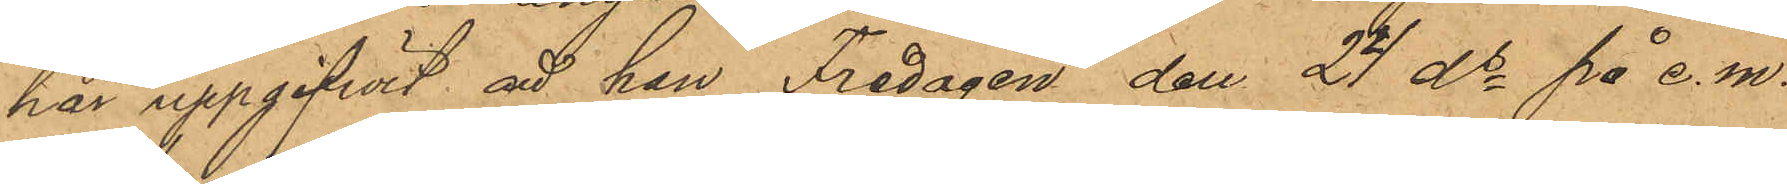har uppgifvit att han Fredagen den 24 ds på e.m.
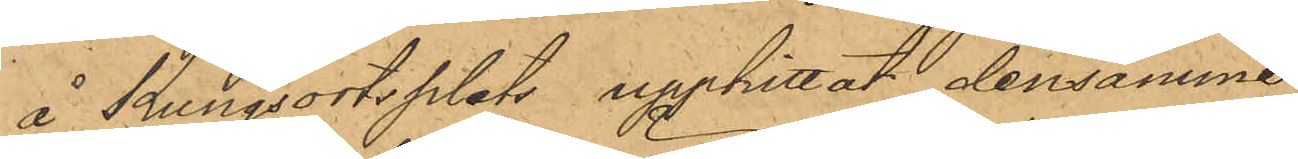å Kungsortsplats upphittat densamme.
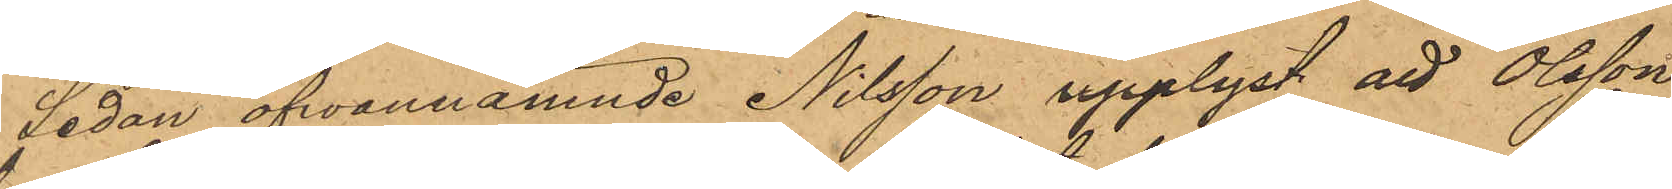Sedan ofvannämnde Nilsson upplyst att Olsson
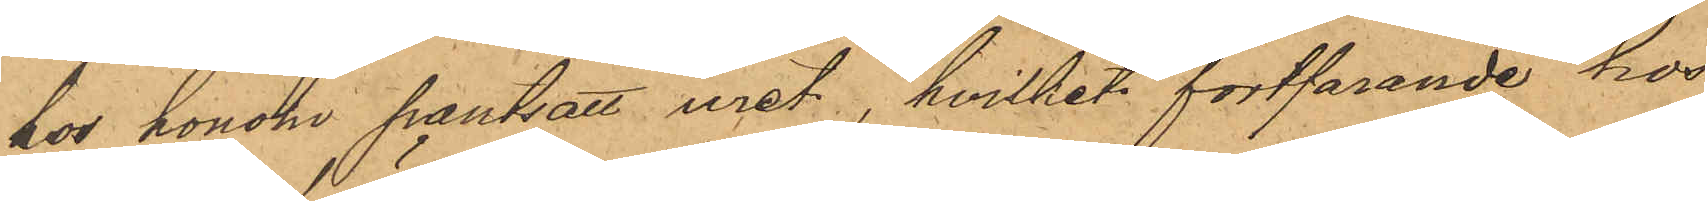hos honom pantsatt uret, hvilket fortfarande hos
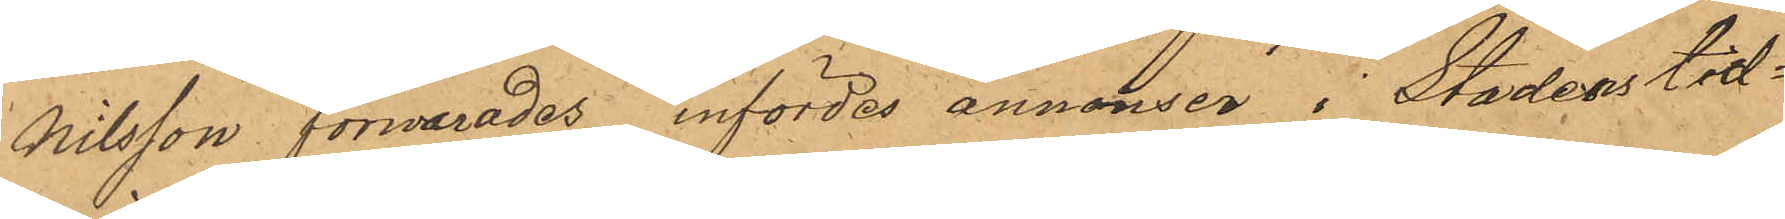Nilsson förwarades infördes annonser i Stadens tid¬
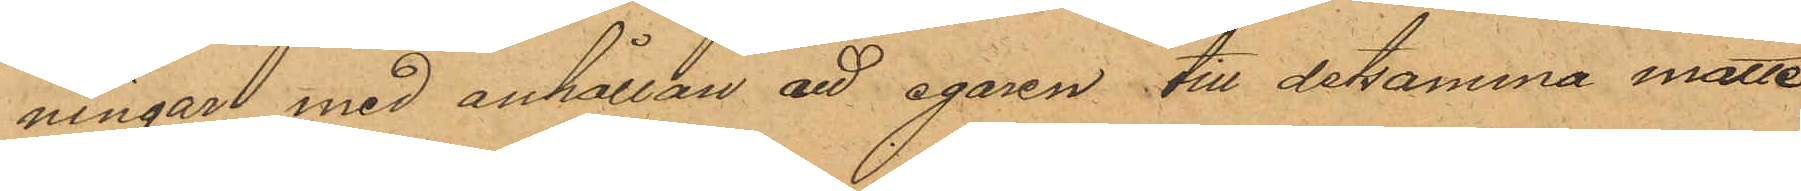ningar med anhållan att egaren till detsamma måtte
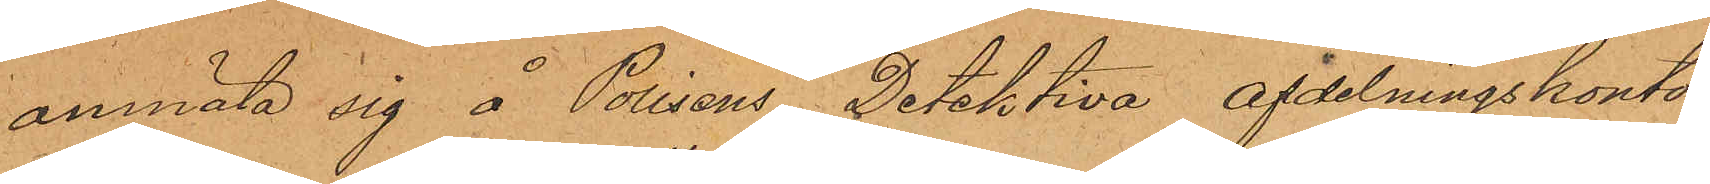anmäla sig å Polisens Detektiva afdelningskontor.
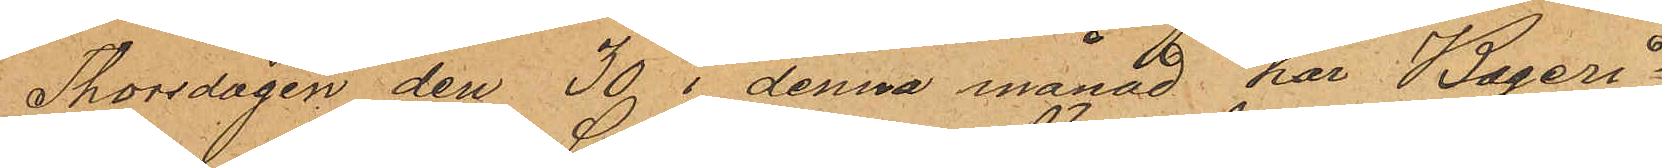Thorsdagen den 30 i denna månad har Bageri¬
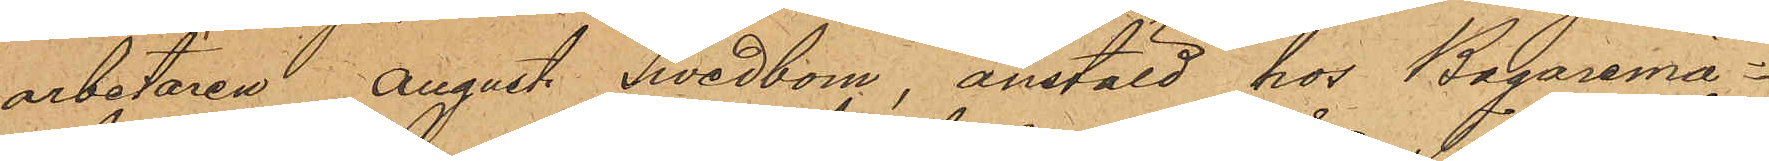arbetaren August Swedbom, anstäld hos Bagaremä¬
